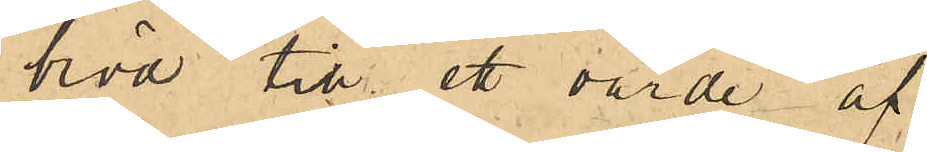bröd till ett värde af
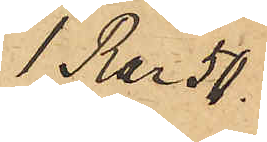1 Rdr 50
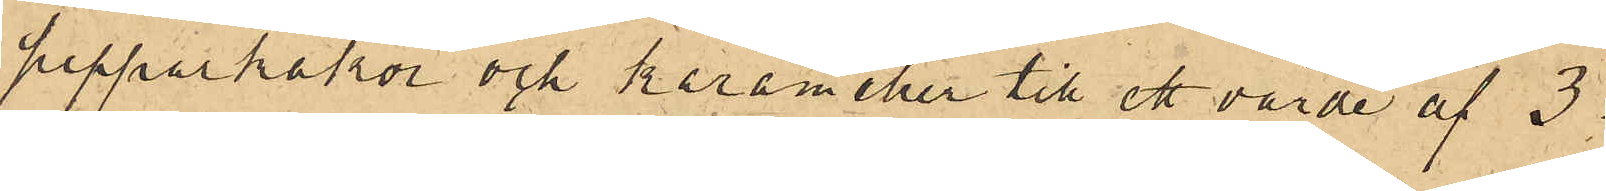pepparkakor och karameller till ett värde af 3
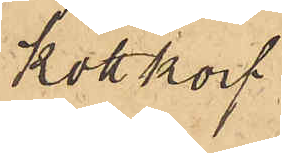köttkorf
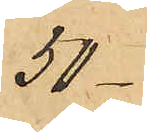50-
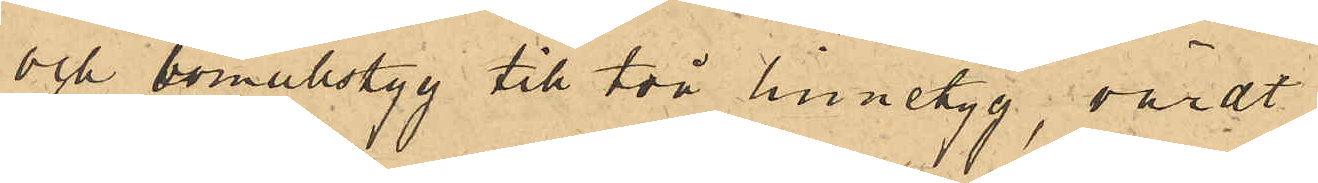och bomullstyg till två linnetyg, värdt
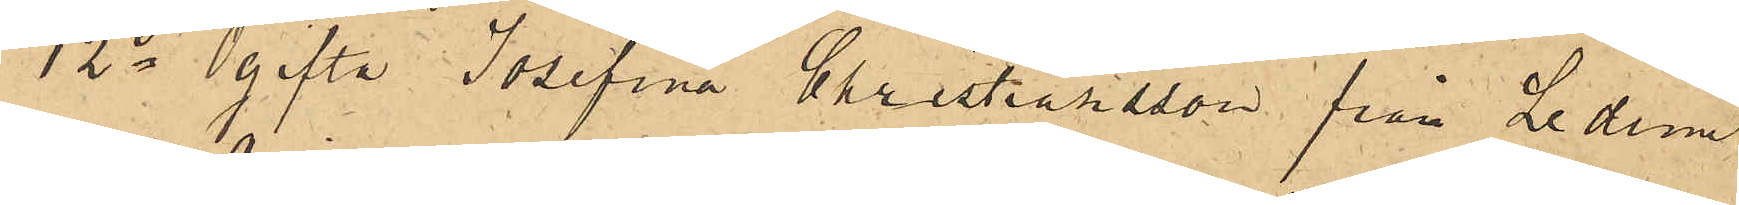12o Ogifta Josefina Christiansson från Ledum
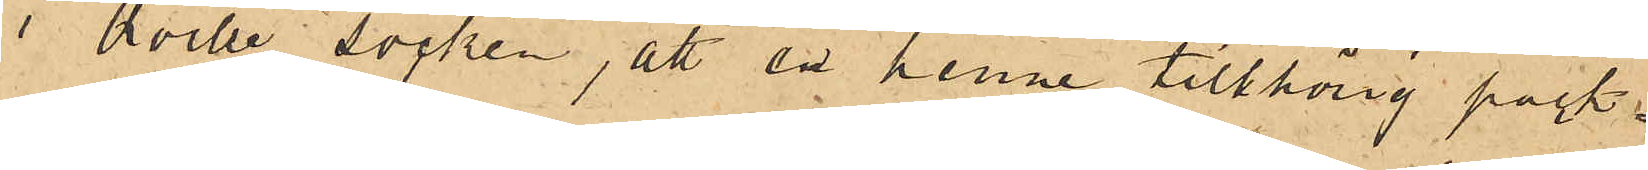i Qville socken, att en henne tillhörig pack¬
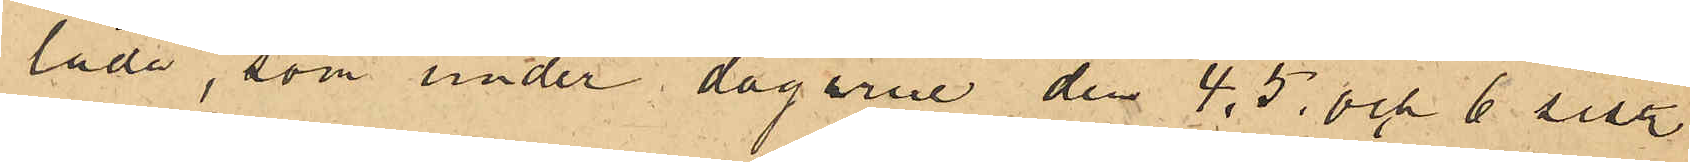låda, som under dagarne den 4, 5 och 6 sist.
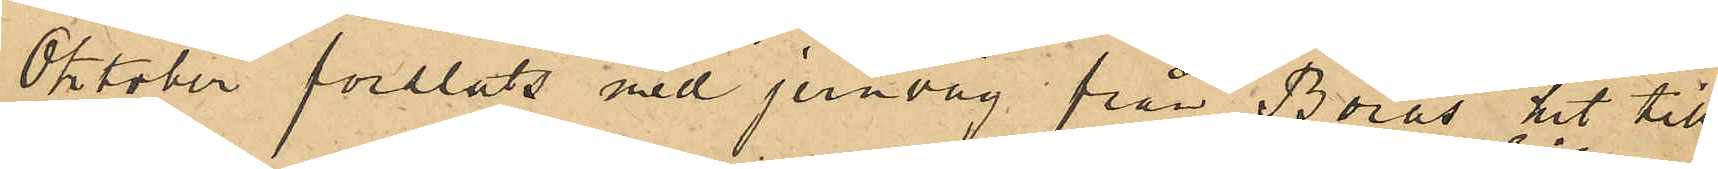Oktober forslats med jernväg från Borås hit till
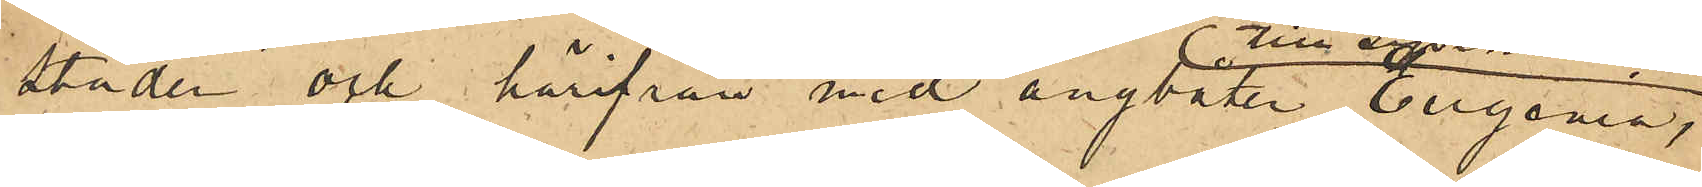staden och härifrån med ångbåten Eugenia
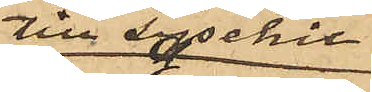till Lysekil
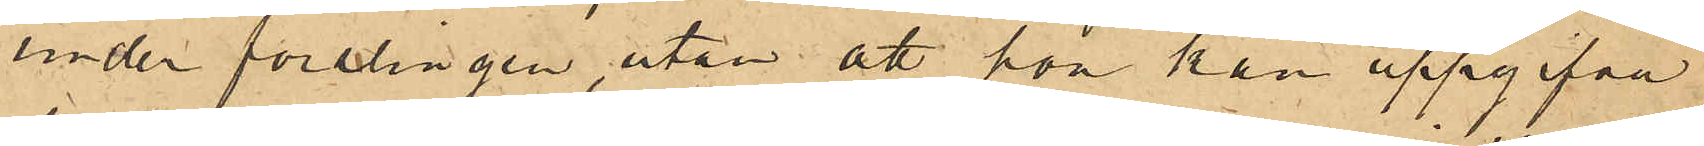under forslingen, utan att hon kan uppgifva
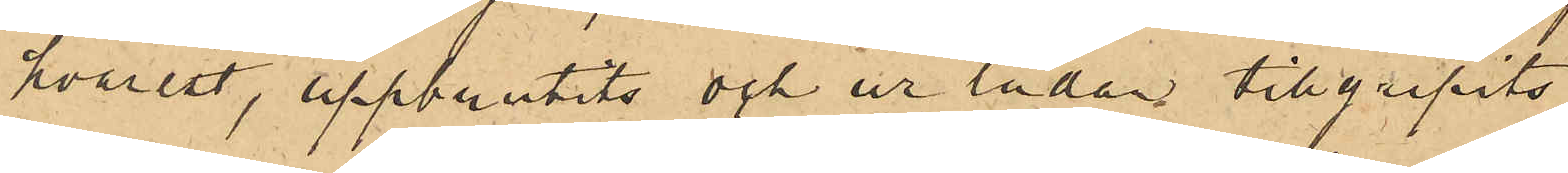hvarest, uppbrutits och ur lådan tillgripits
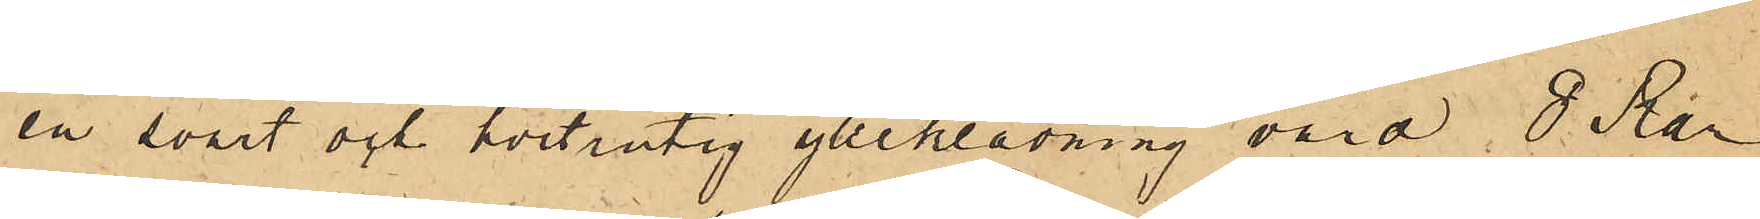en svart och hvitrutig ylleklädning värd 8 Rdr
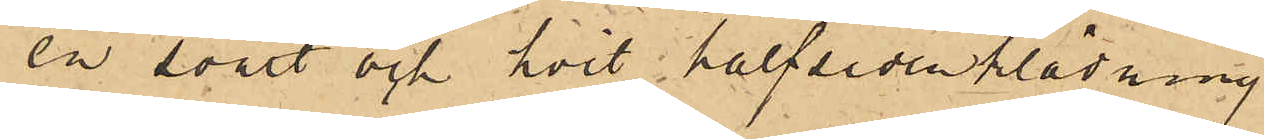en svart och hvit halfsidenklädning
